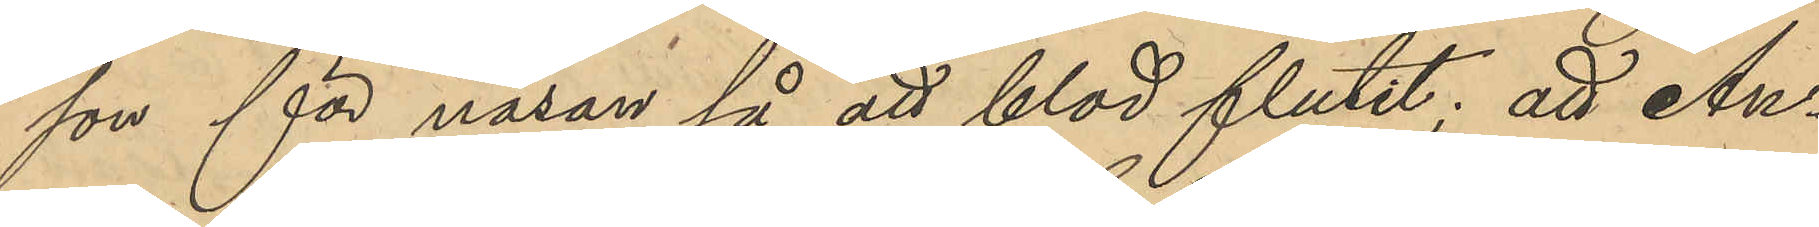son för näsan så att blod flutit; att An¬
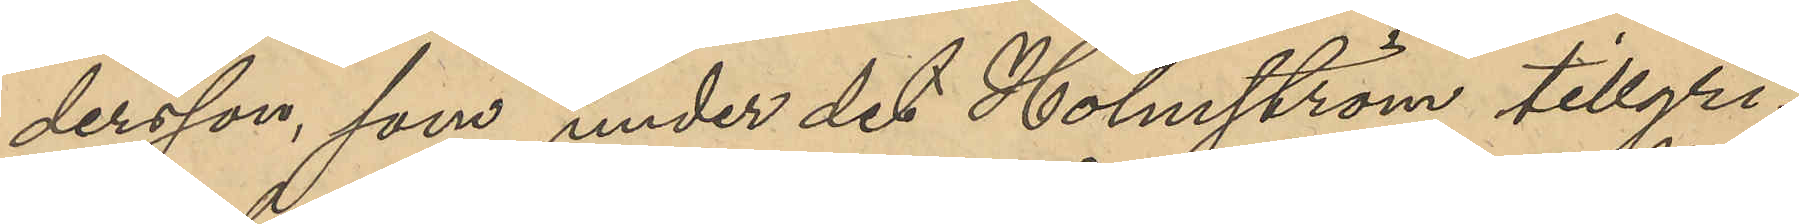dersson, som under det Holmström tillgri¬
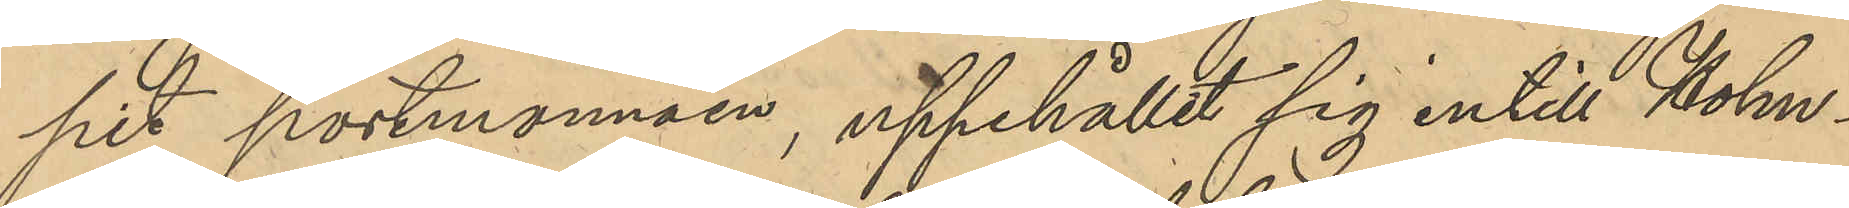pit portmonnäen, uppehållit sig intill Holm¬
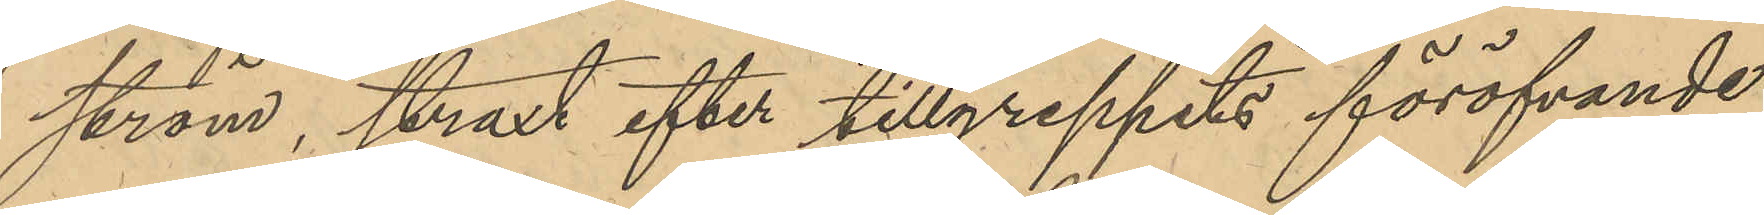ström, straxt efter tillgreppets föröfvande
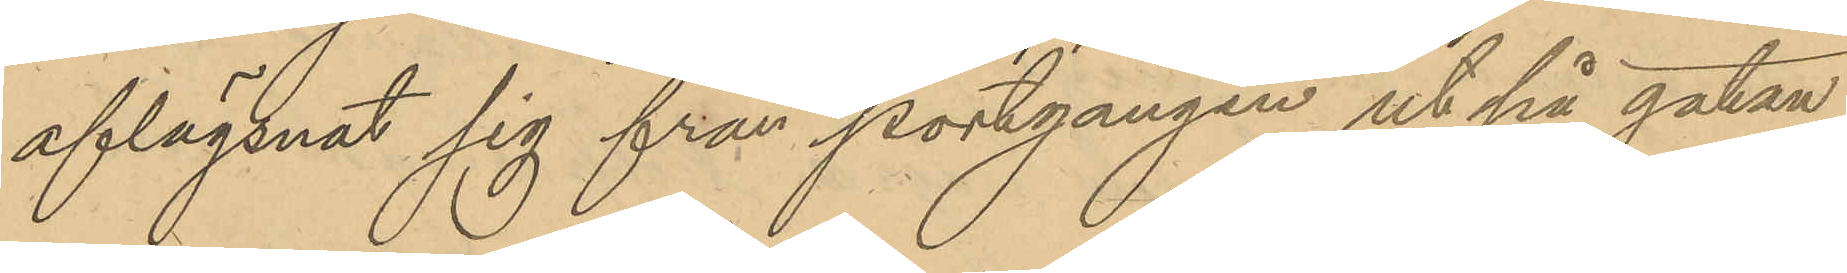aflägsnat sig från portgången ut på gatan,
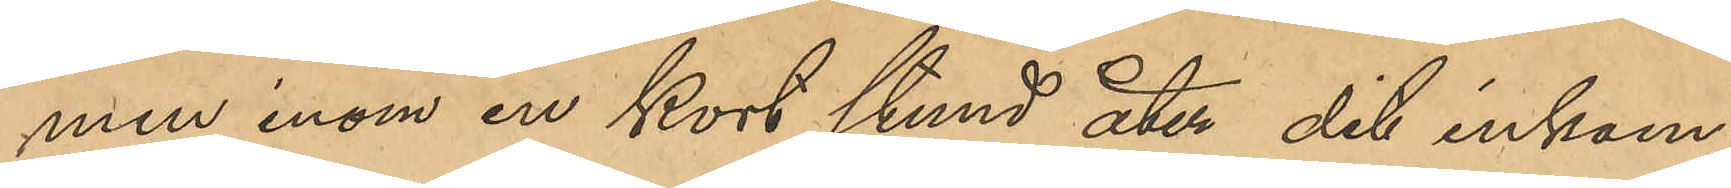men inom kort stund åter dit inkom¬
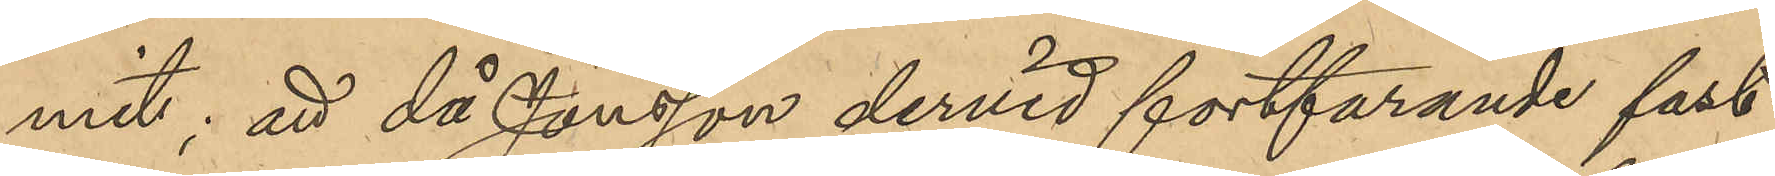mit; att då Jonsson dervid fortfarande fast¬
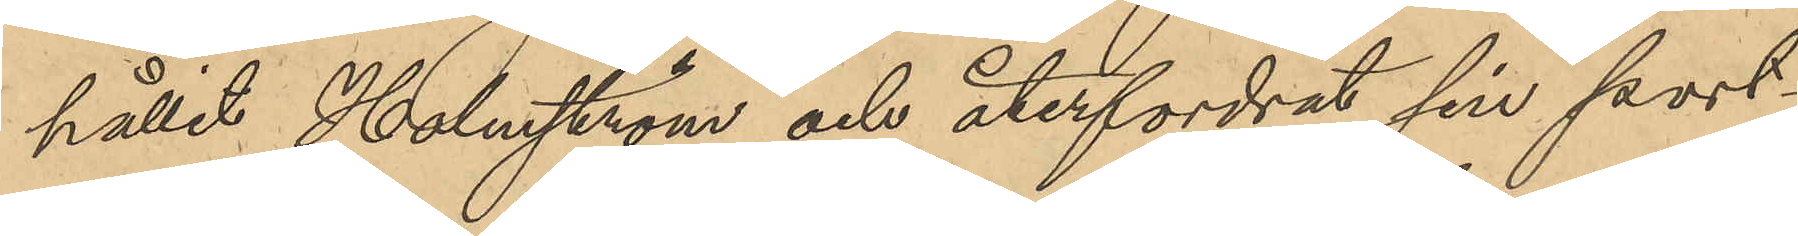hållit Holmström och återfordrat sin port¬
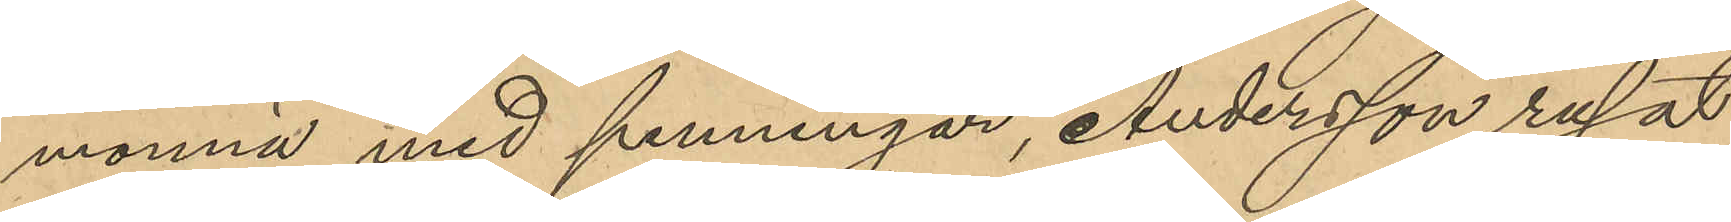monnä med penningar, Andersson rusat
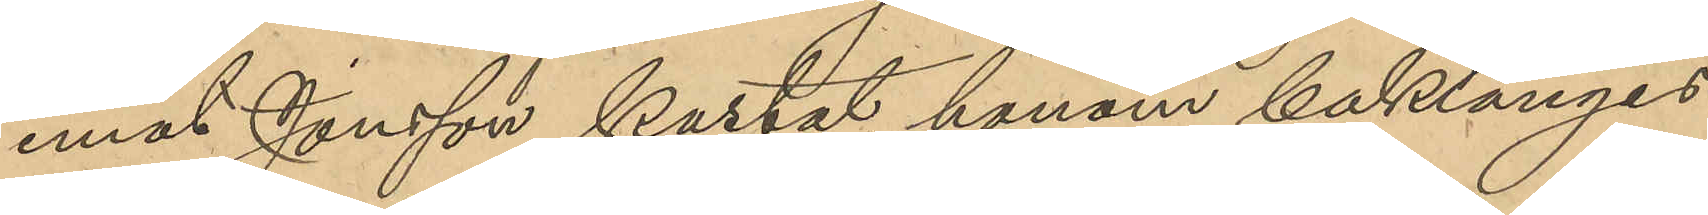emot Jonsson, kastat honom baklänges
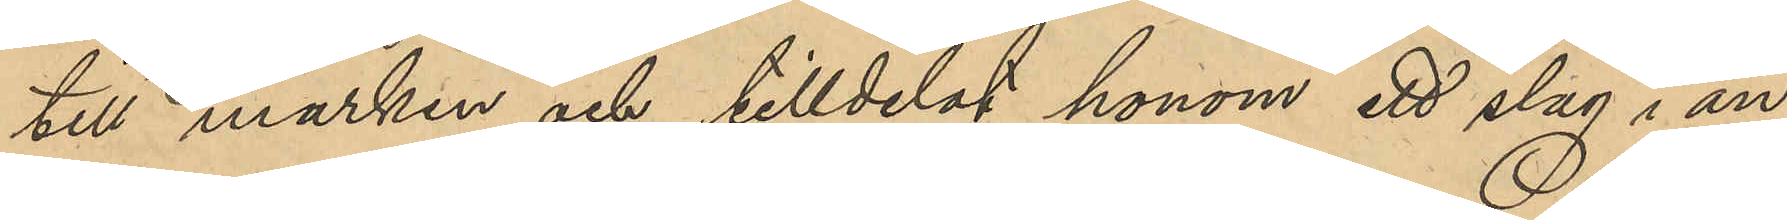till marken och tilldelat honom ett slag i an¬
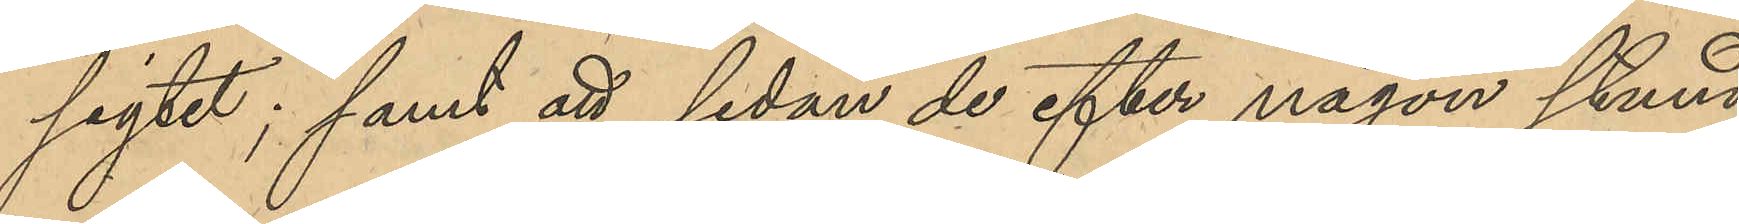sigtet; samt att, sedan de efter någon stund
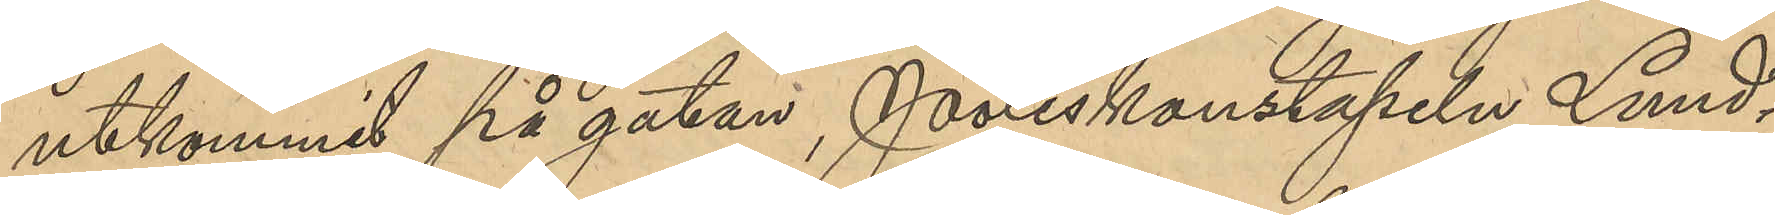utkommit på gatan, Poliskonstapeln Lund¬
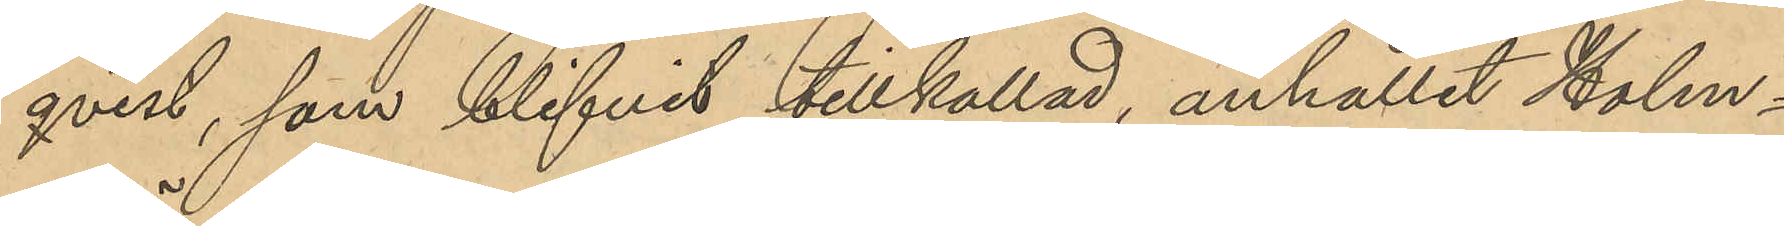qvist, som blifvit tillkallad, anhållit Holm¬
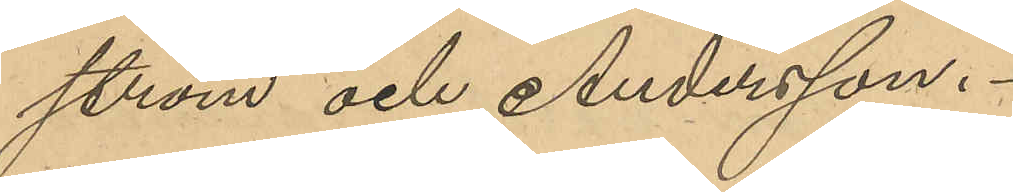ström och Andersson.
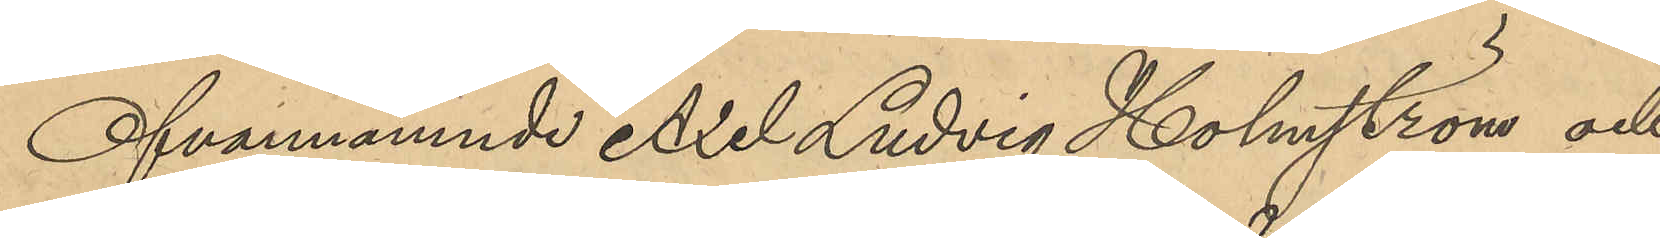Ofvannämnde Axel Ludvig Holmström och
